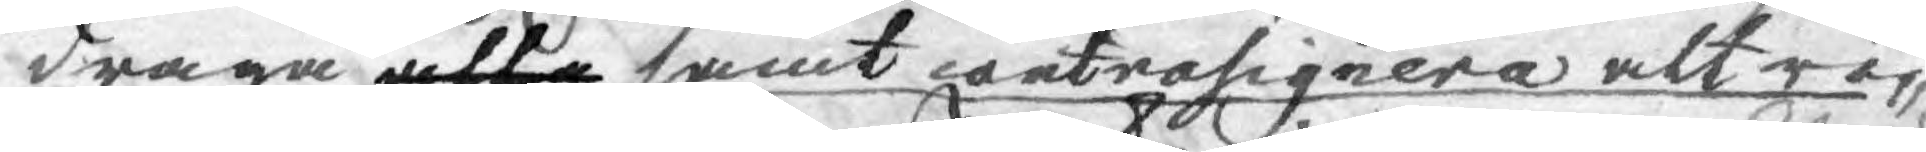draga alla samt contrasignera alt rör¬
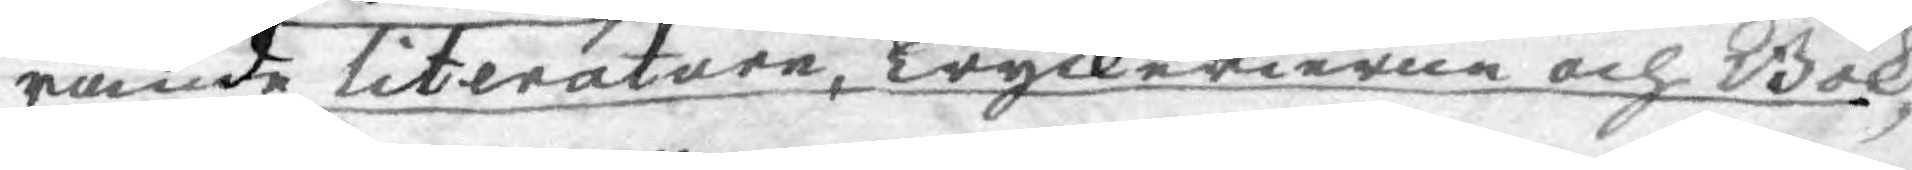rande Literaturen, Tryckerierne och Bok¬
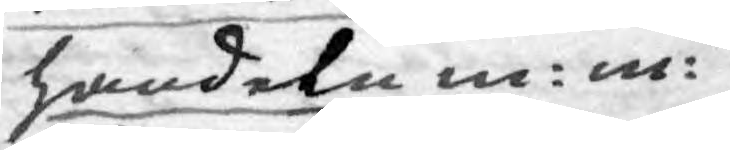handeln m: m:
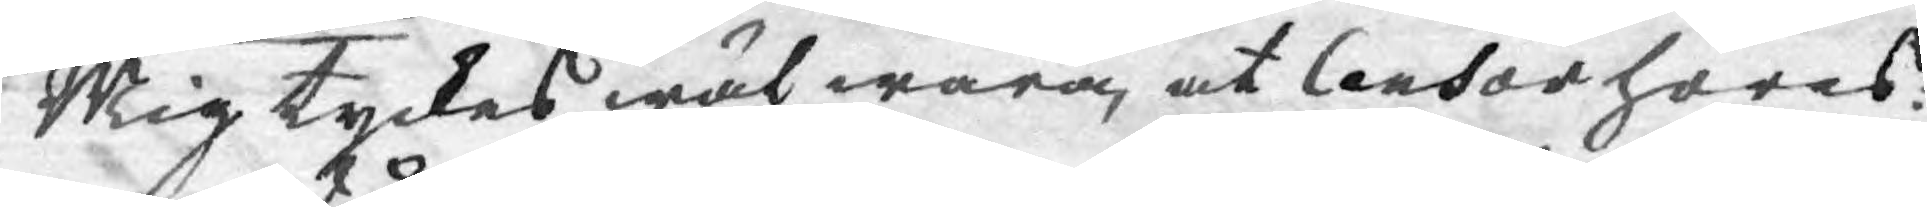Mig tyckes wäl wara, at Censor höres:
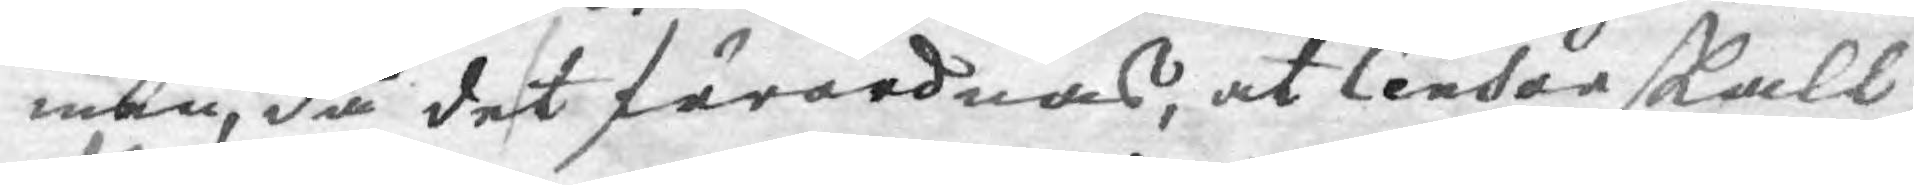man, då det förordnas, at Cendor skall
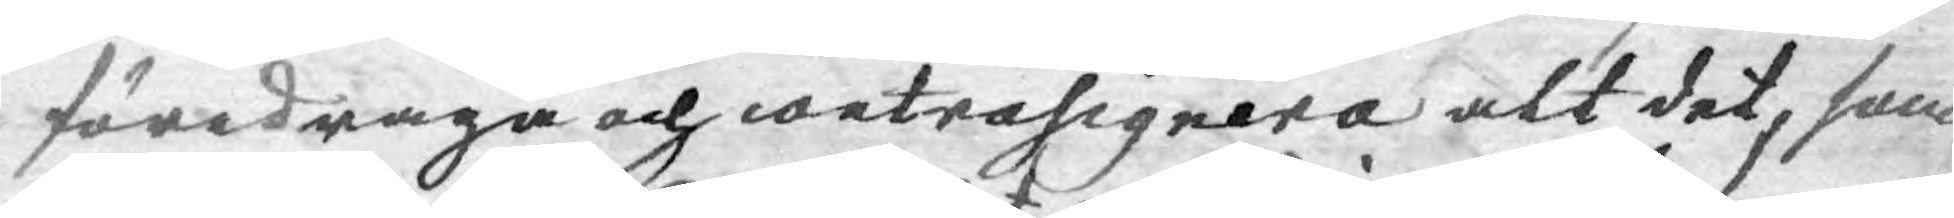föredraga och contrasignera alt det, som
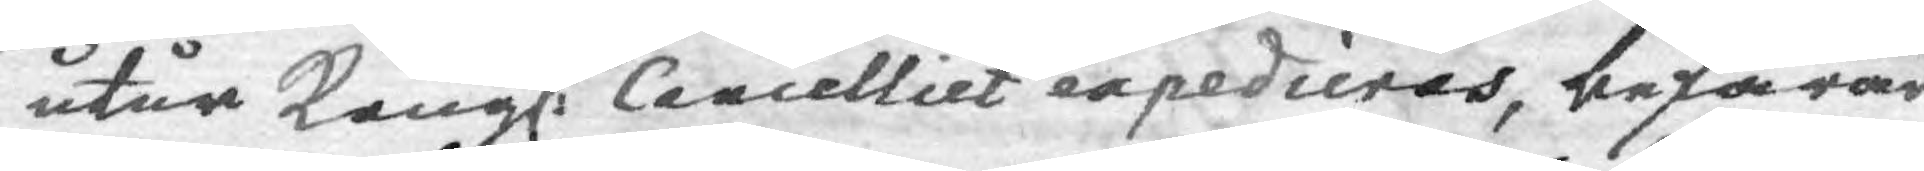utur Kongl. Cancelliet expedieras, befarar
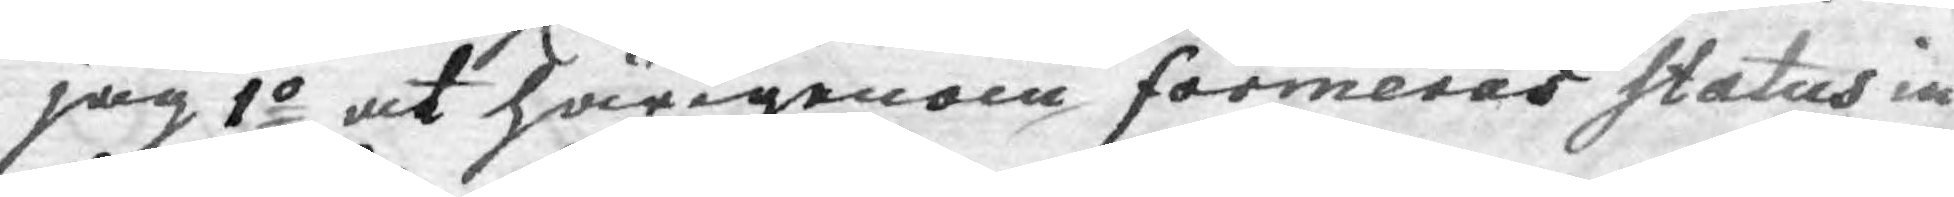jag 1o at härigenom formeras Status in¬
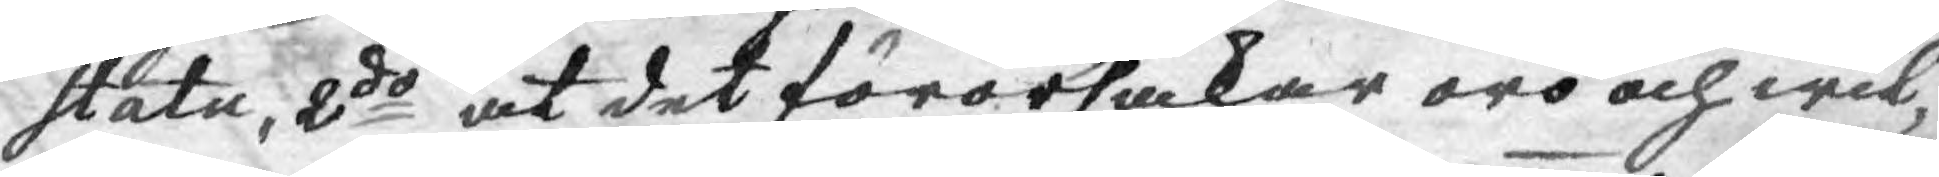statu, 2do at det förorsakar oro och wil¬
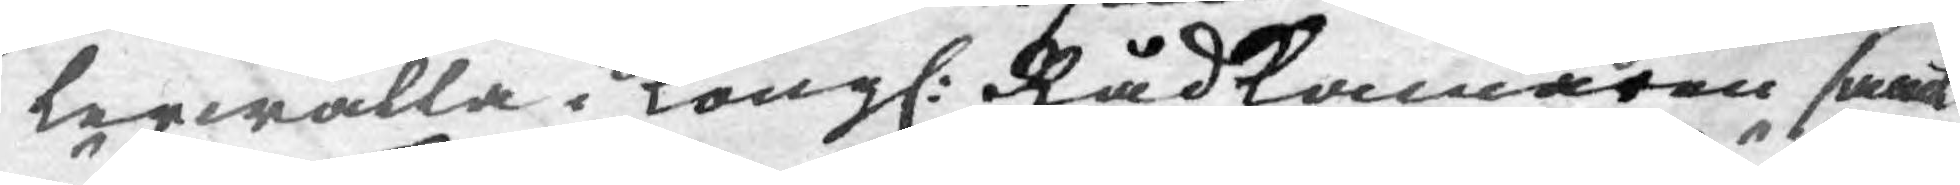lerwalla i Kongl: Rådkammaren samt
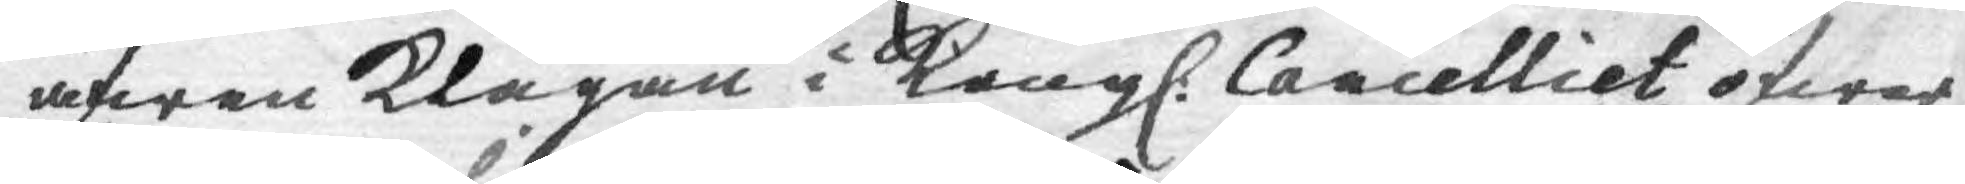äfwen klagan i Kongl. Cancelliet öfwer
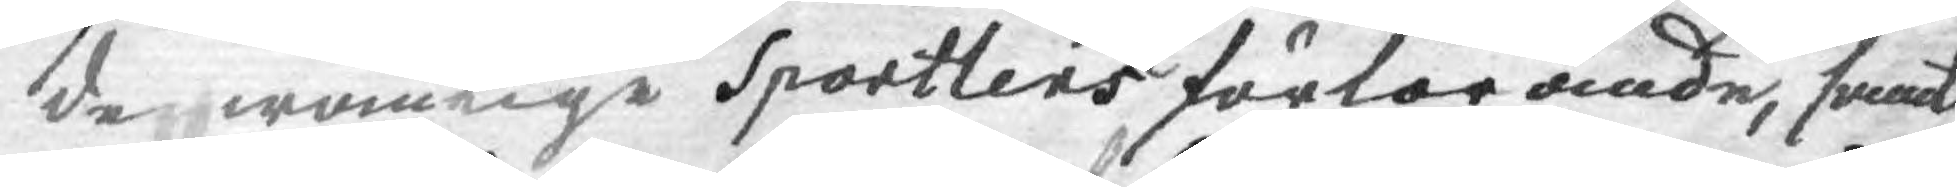de wanlige Sportlers förlorande, samt
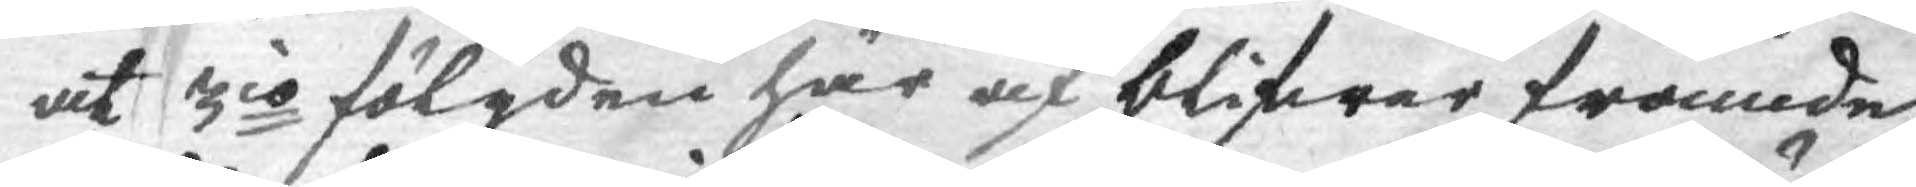at 3io fölgden här af blifwer framde¬
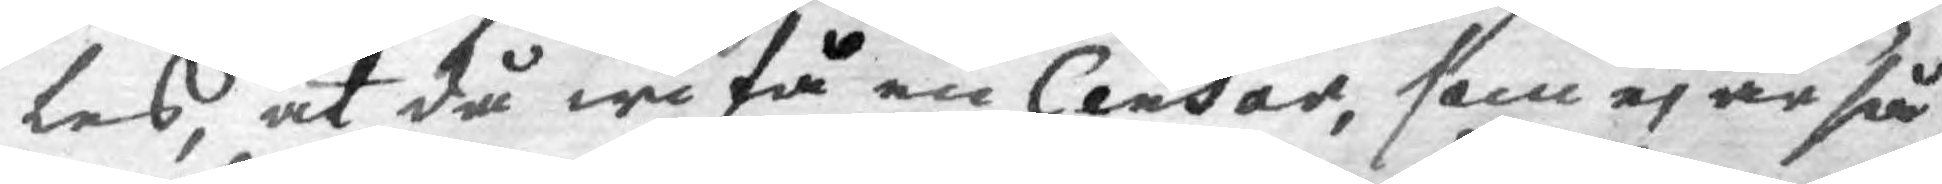les, at då wi få en Censor, som ej är så
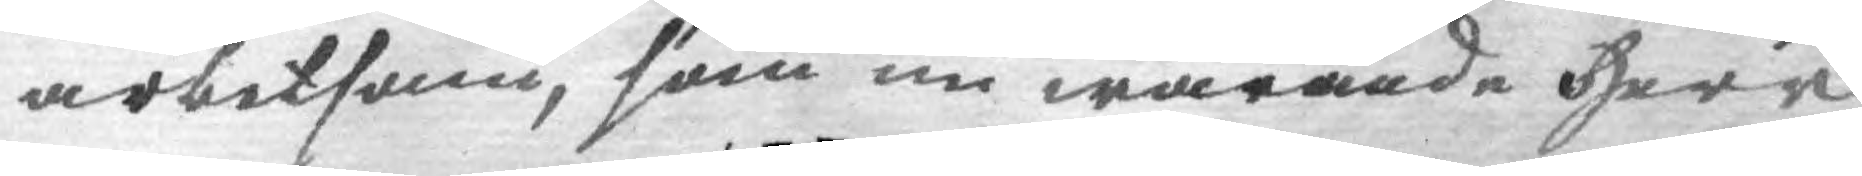arbetsam, som nu warande Herr
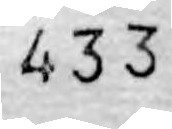433
